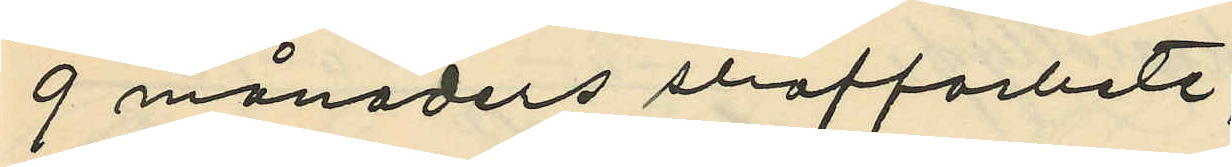9 månaders slraffarbete;
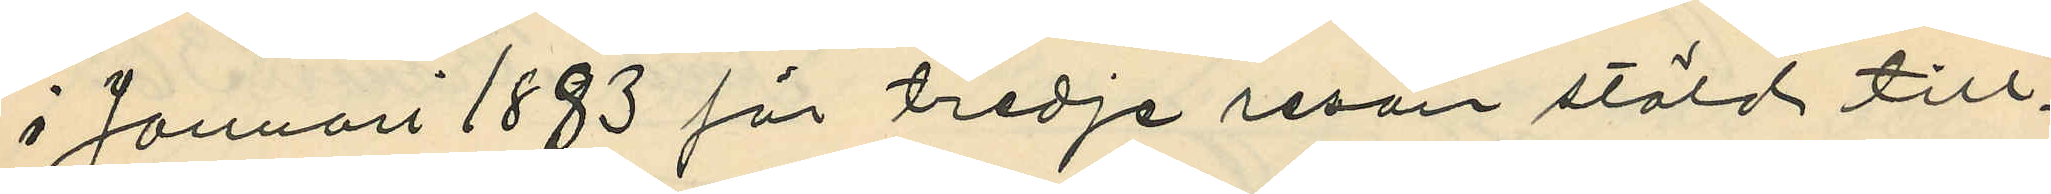i Januari 1883 för tredje resan stöld till¬
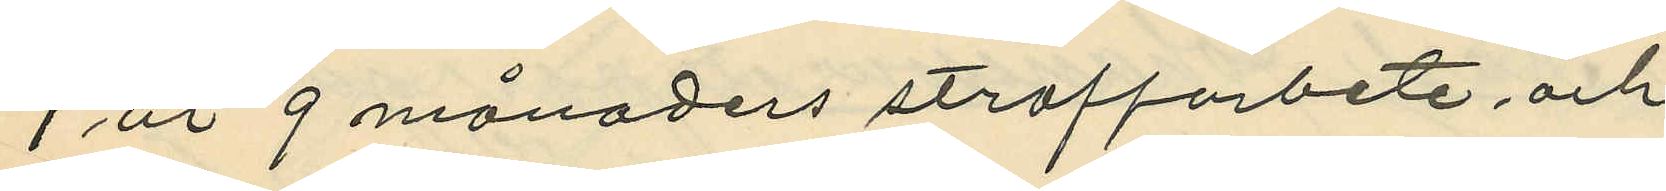1 år 9 månaders straffarbete och
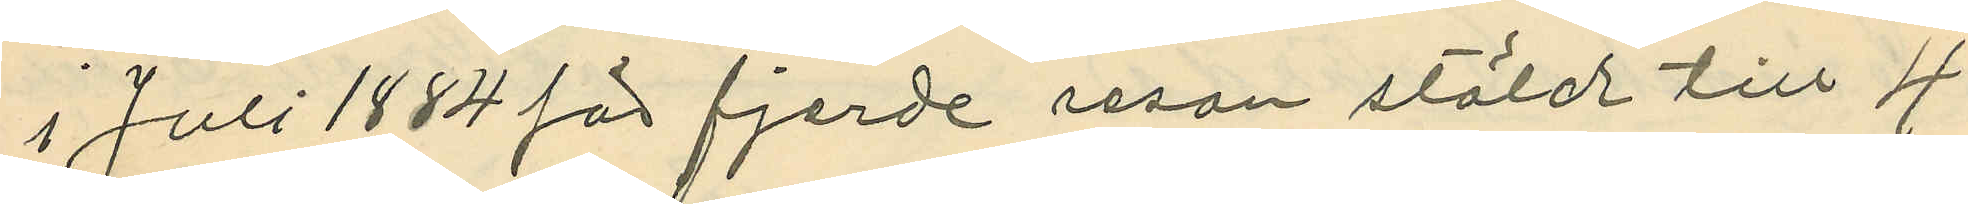i Juli 1884 för fjerde resan stöld till 4
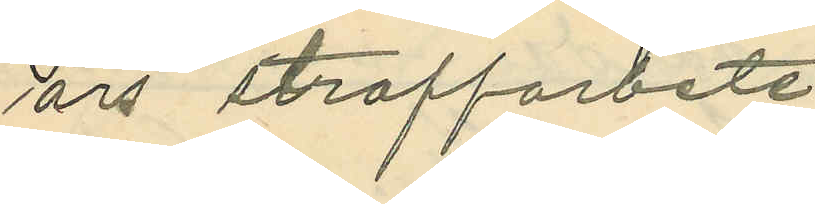års straffarbete .
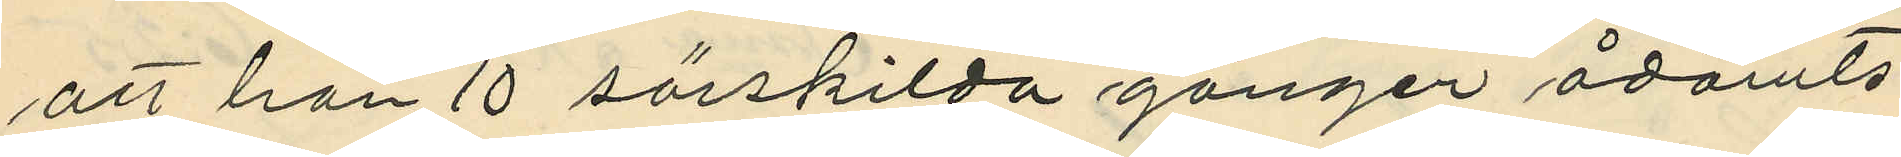att han 10 särskilda gånger ådömts
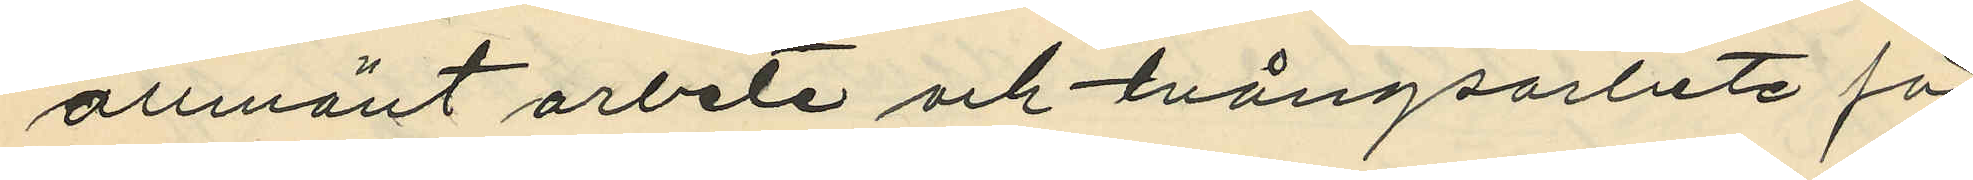allmänt arbete och tvångsarbete för
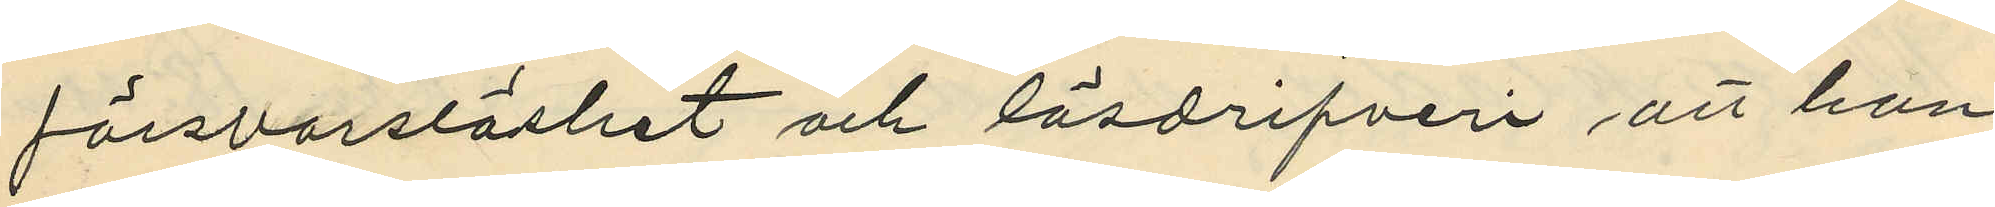försvarslöshet och lösdrifveri att han
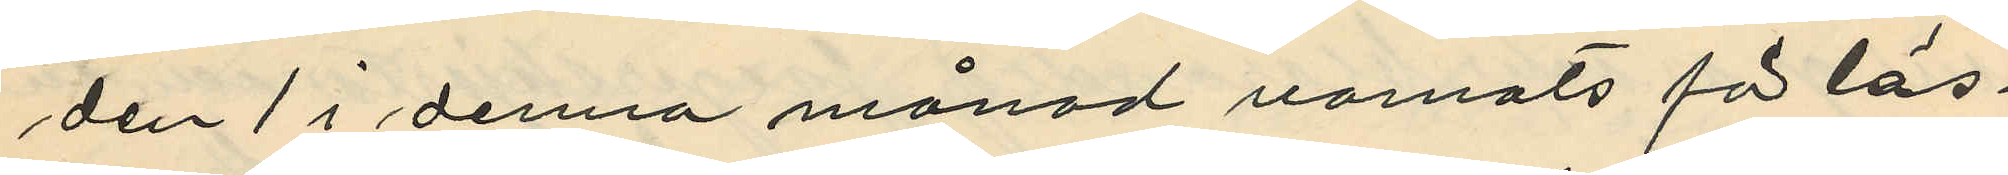den 1 i denna månad varnats för lös¬
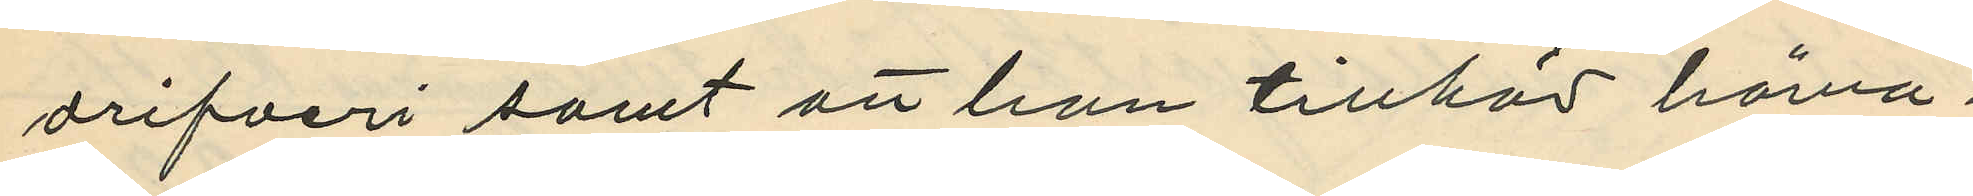drifveri samt att han tillhör härva¬
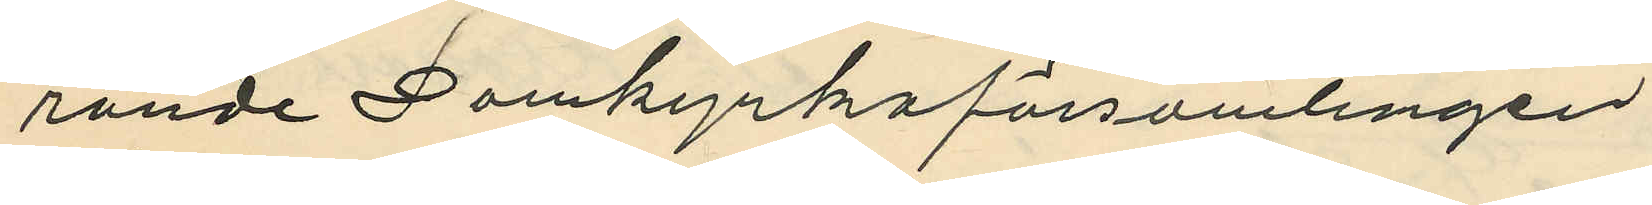rande Domkyrkoförsamlingen.
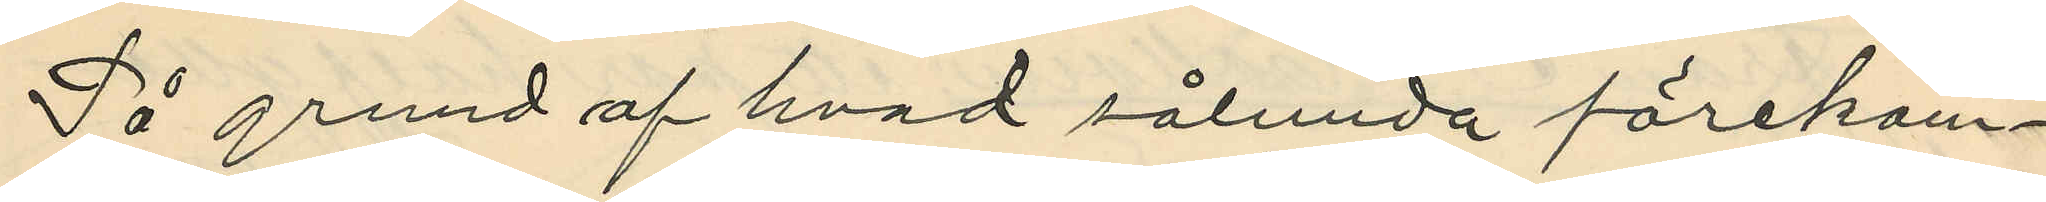På grund af hvad sålunda förekom¬
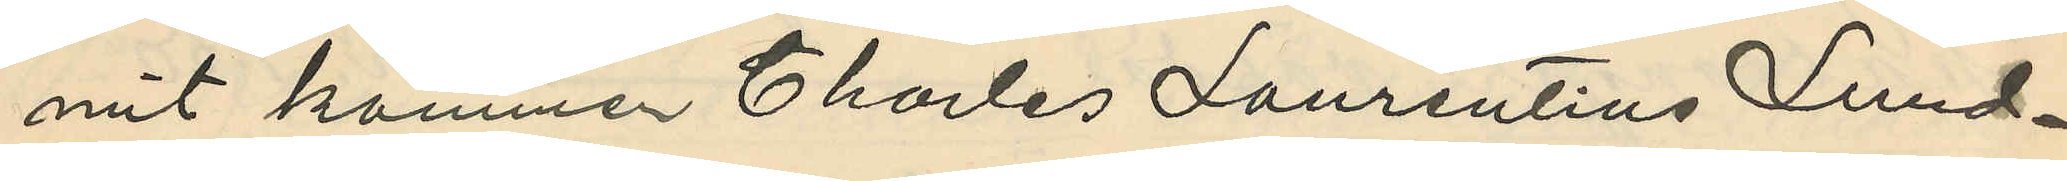mit kommer Charles Laurentius Lund¬
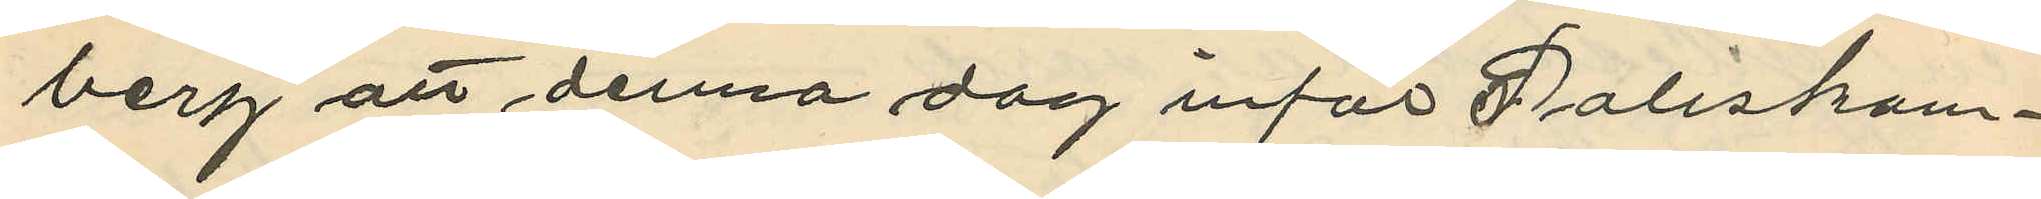berg att denna dag inför Poliskam¬
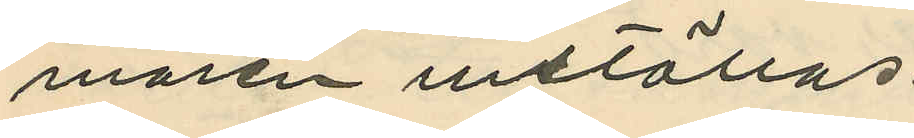maren inställas.
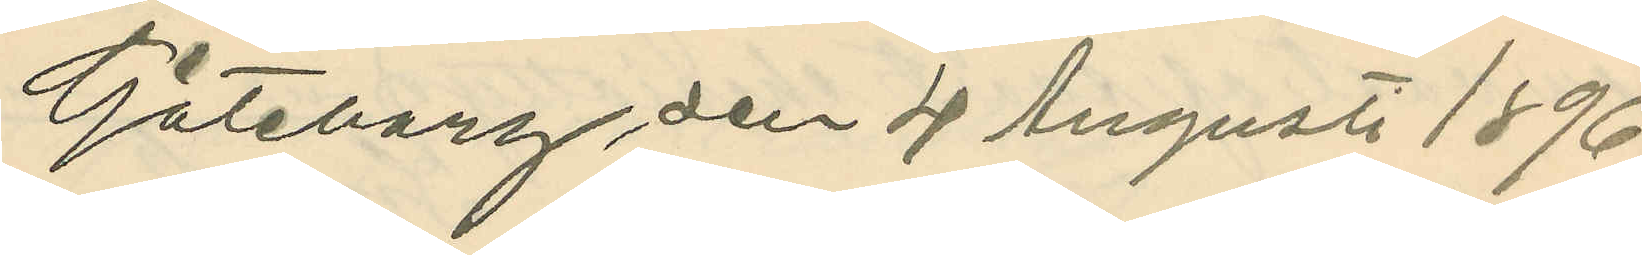Göteborg den 4 Augusti 1896.
